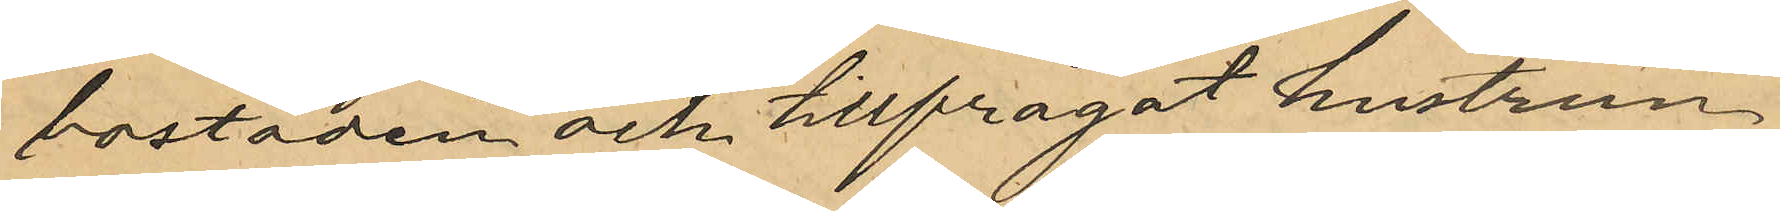bostaden och tillfrågat hustrun
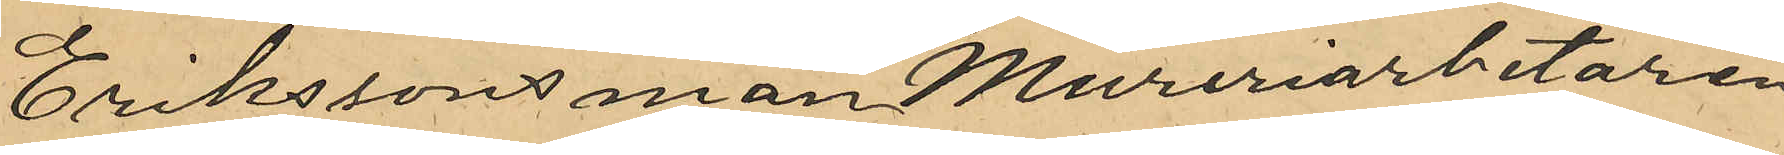Erikssons man Mureriarbetaren
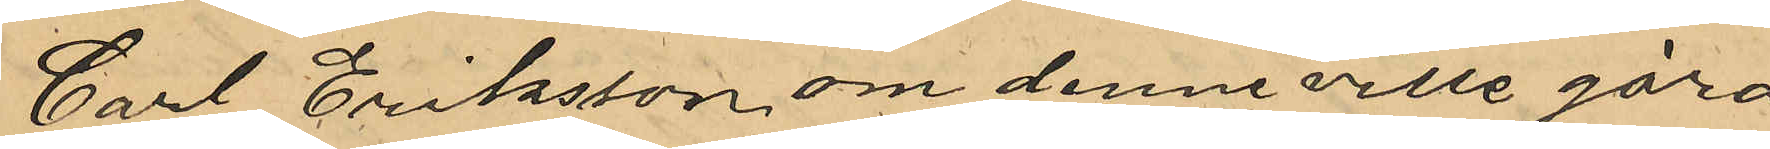Carl Eriksson om denne ville göra
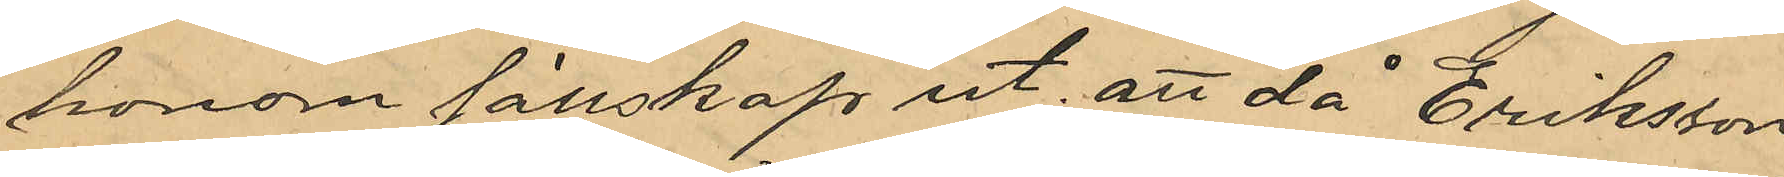honom sällskap ut; att då Eriksson
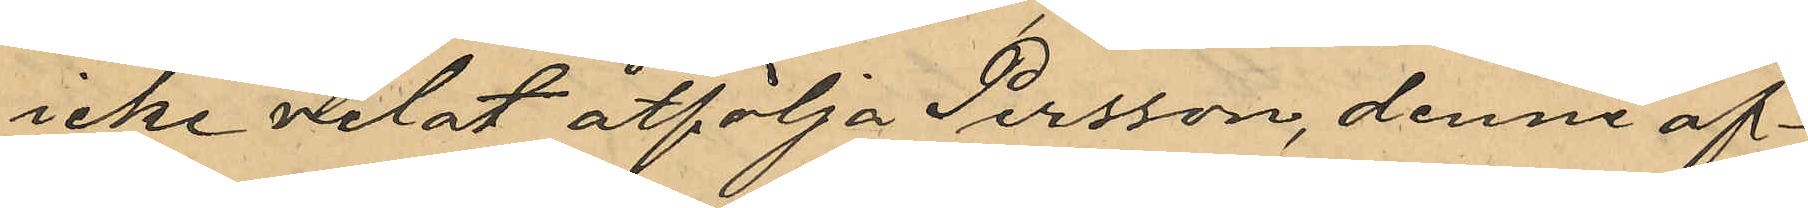icke velat åtfölja Persson, denne af¬
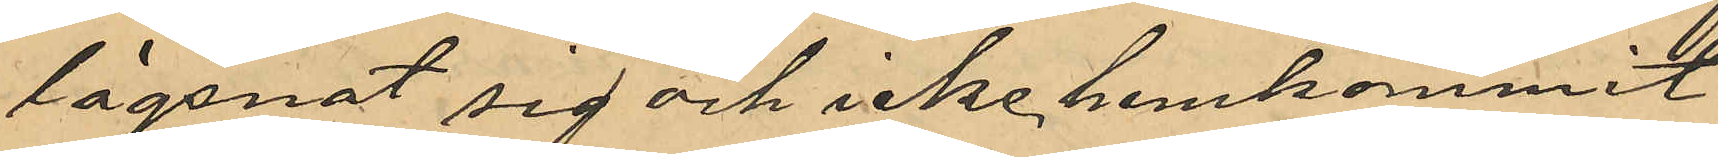lägsnat sig och icke hemkommit
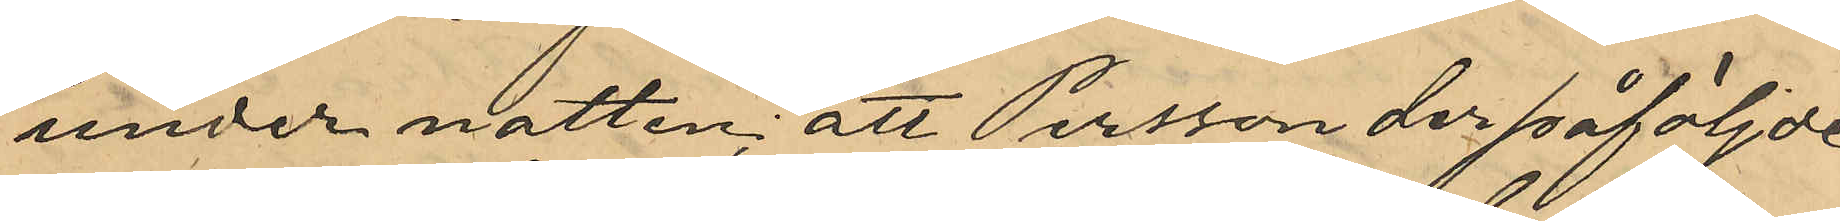under natten; att Persson derpåföljde
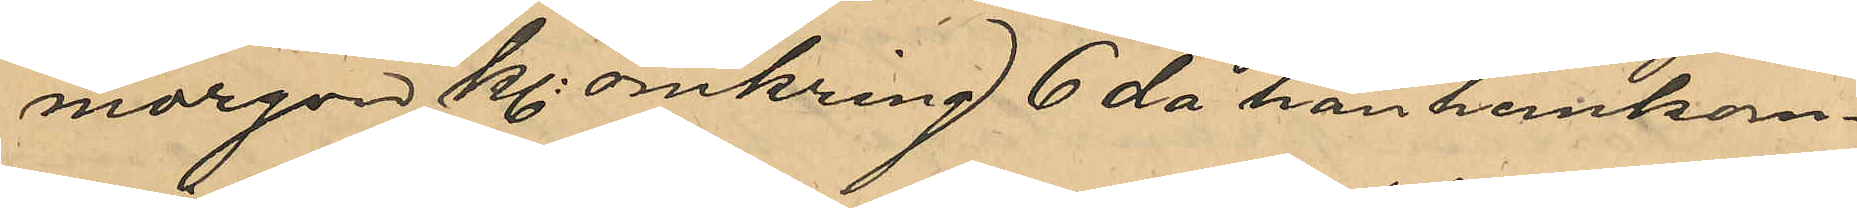morgon Kl omkring 6 då han hemkom¬
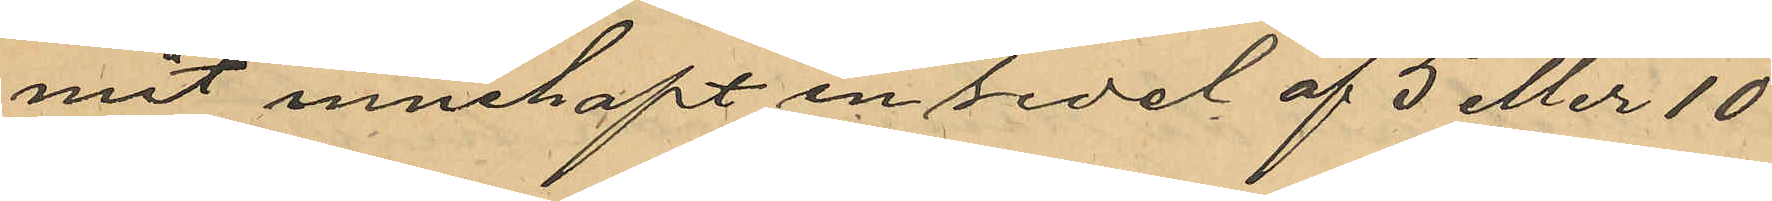mit innehaft en sedel af 5 eller 10
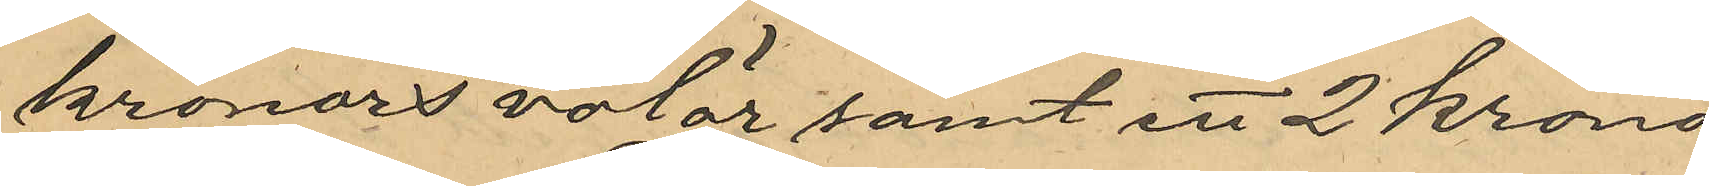kronors valör samt ett 2 krono¬
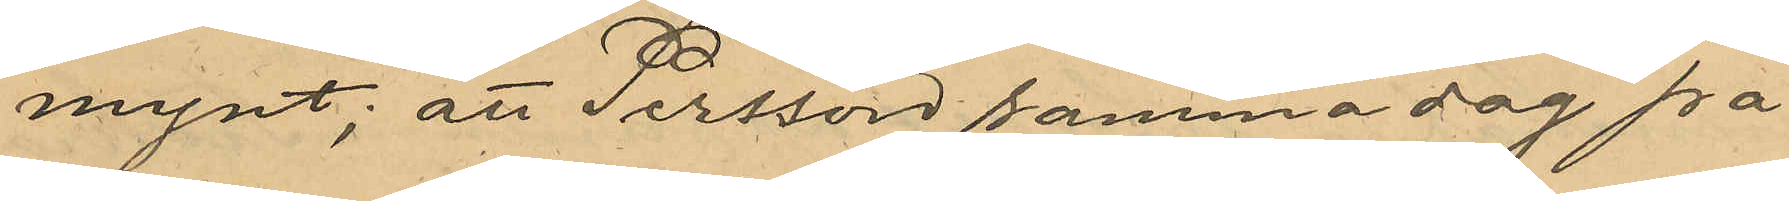mynt; att Persson samma dag på
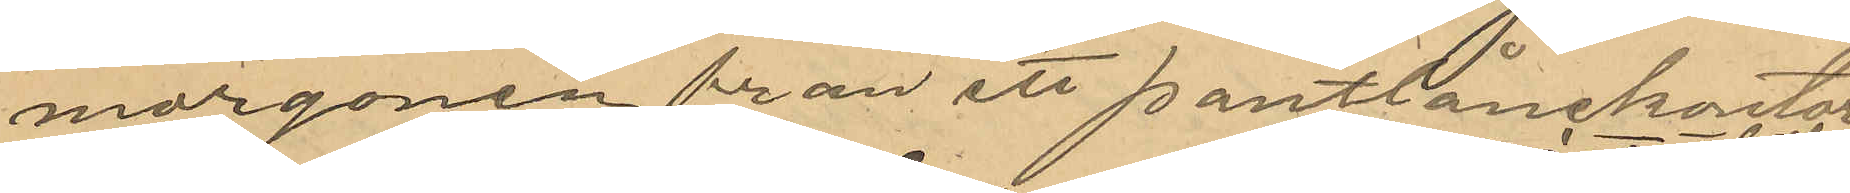morgonen från ett pantlånekontor
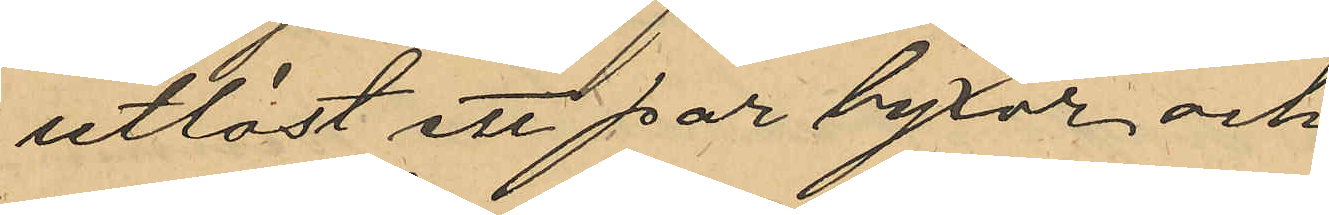utlöst ett par byxor och
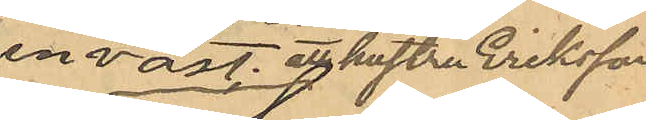en väst, att hustru Eriksson
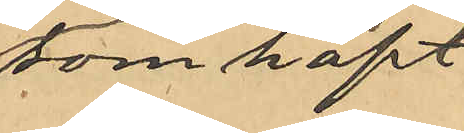som haft
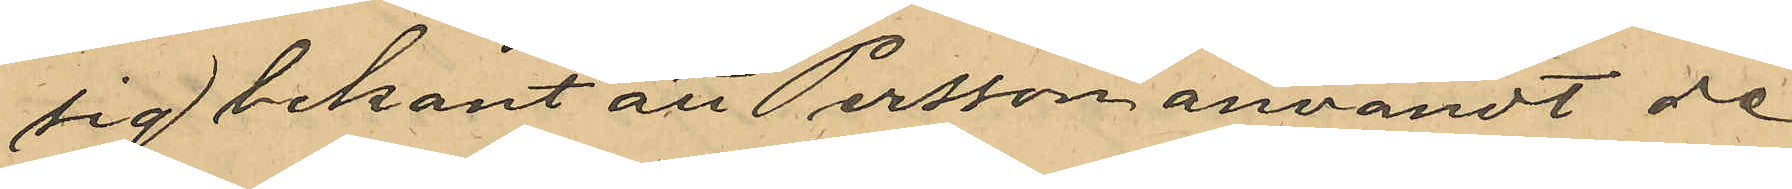sig bekant att Persson användt de
